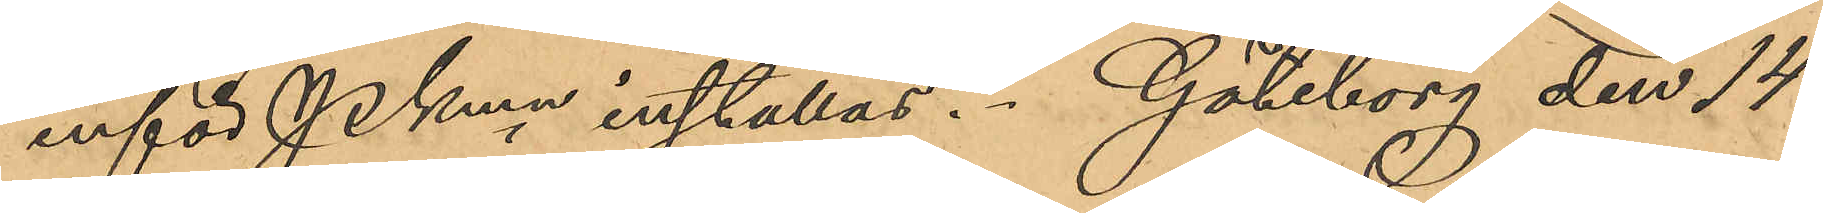inför PKmn inställas. Göteborg den 14
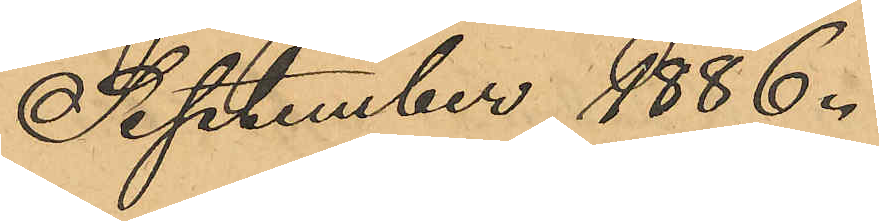September 1886.
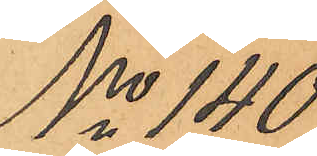No 140
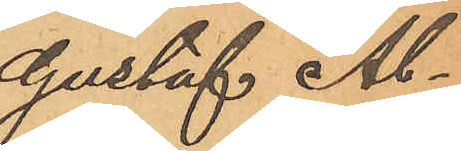Gustaf Al¬
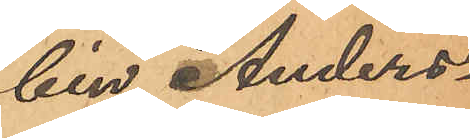bin Anders¬
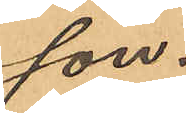son.
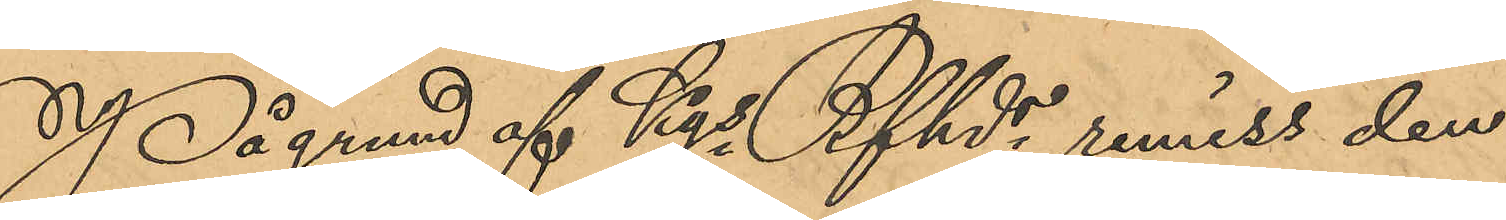På grund af Kgs Bfhds remiss den
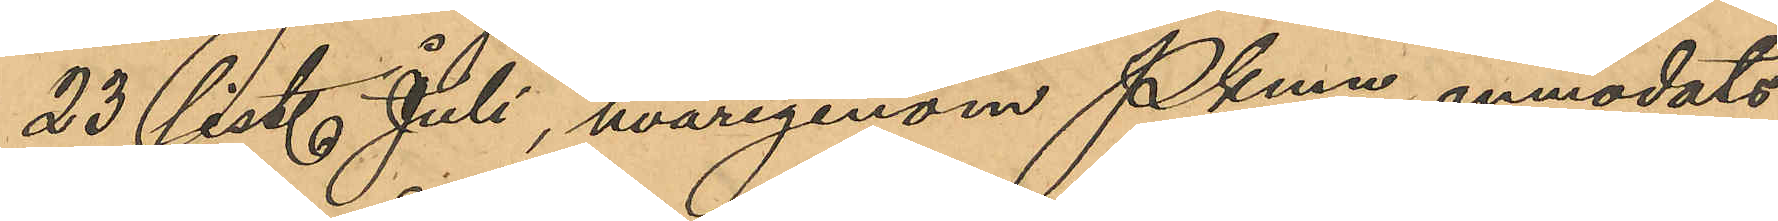23 sist. Juli, hvarigenom Pkmn anmodats
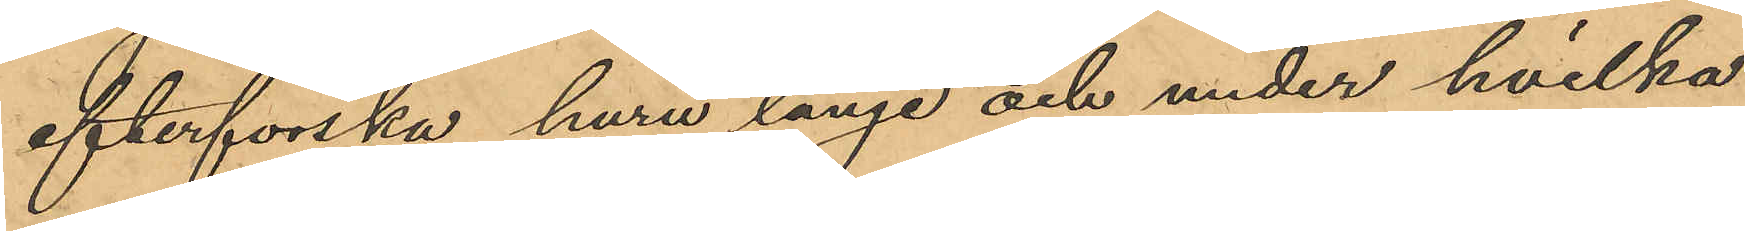efterforska huru länge och under hvilka
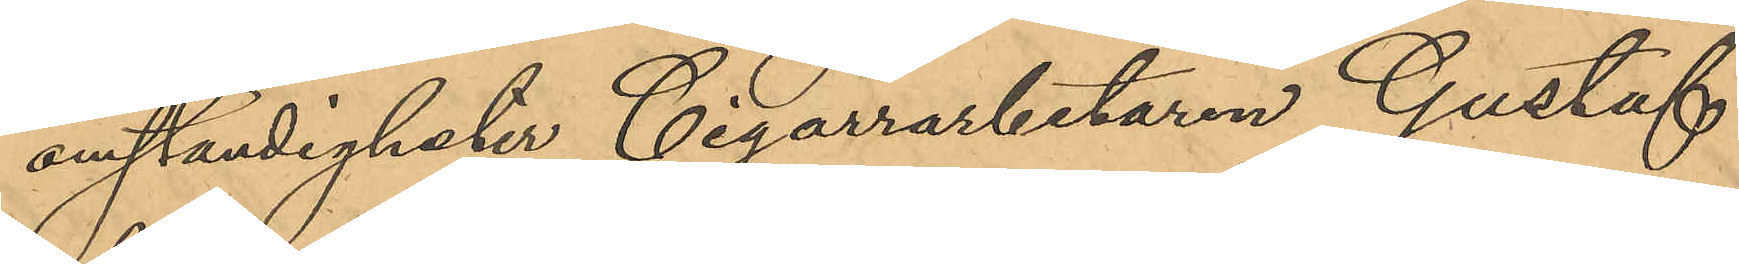omständigheter Cigarrarbetaren Gustaf
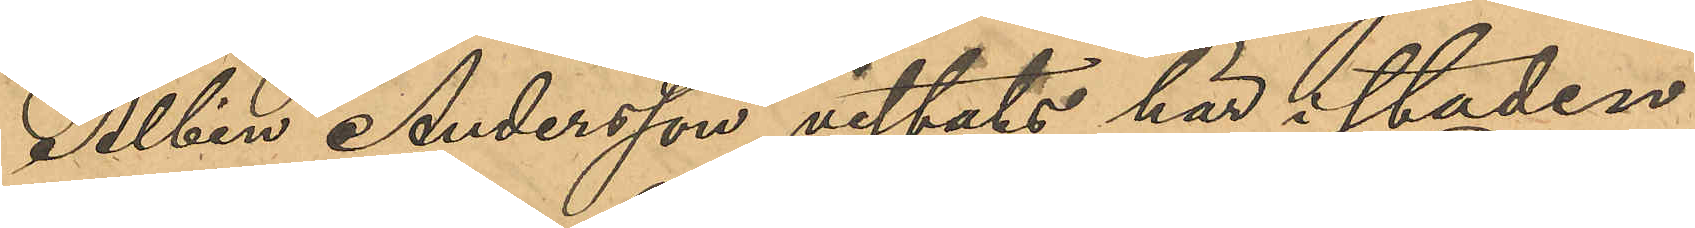Albin Andersson vistats här i staden,
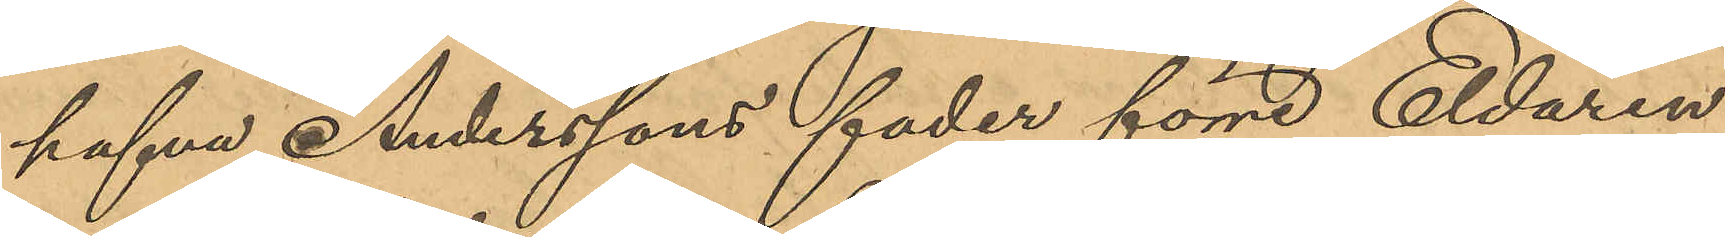hafva Anderssons fader förre Eldaren
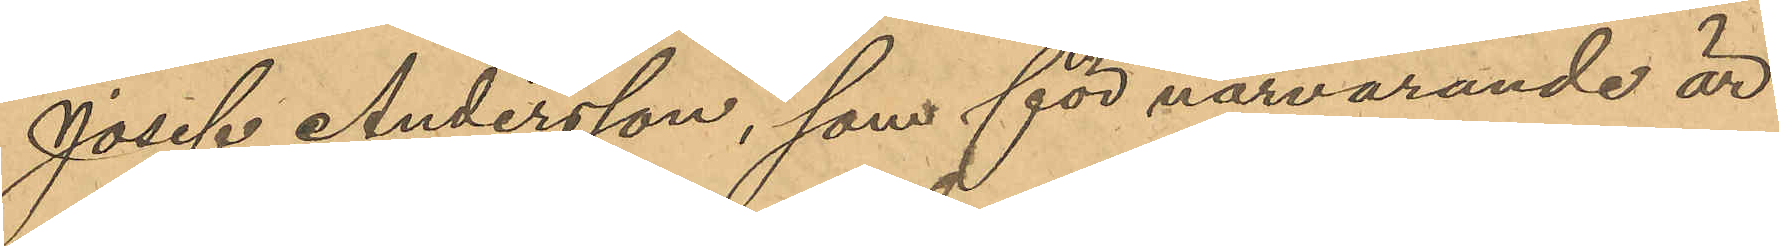Josef Andersson, som för närvarande är
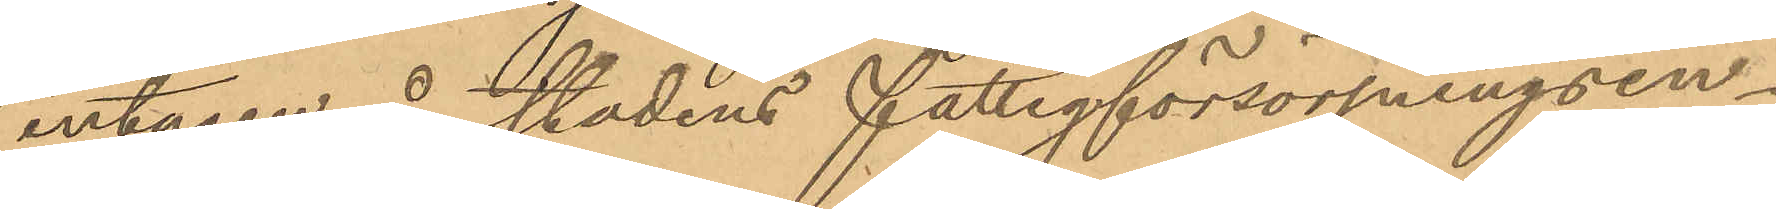intagen å  stadens fattigförsörjningsin¬
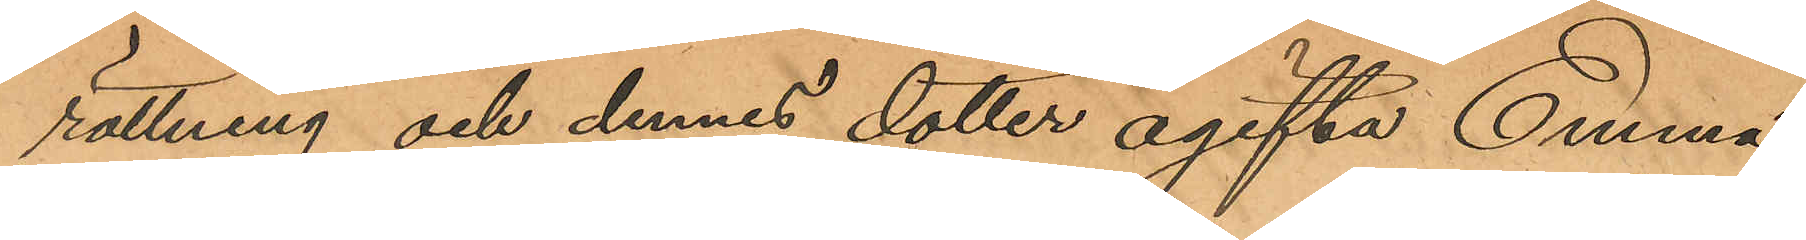rättning och dennes dotter ogifta Emma
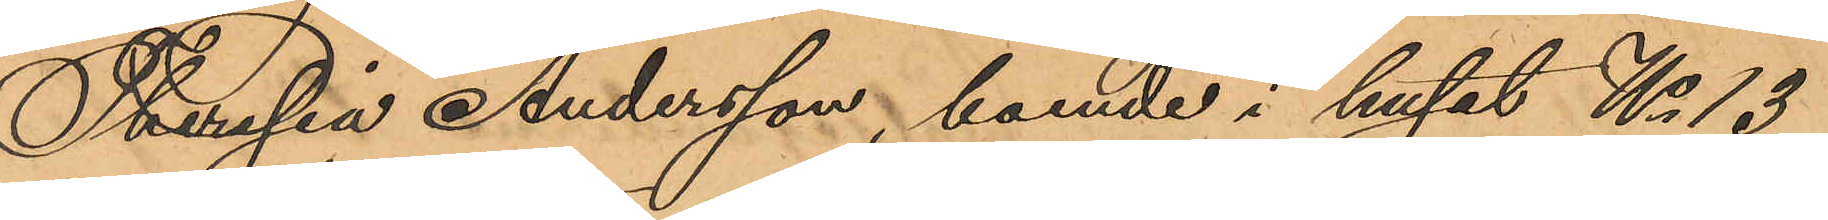Theresia Andersson, boende i huset No 13
